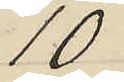10
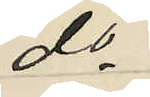do
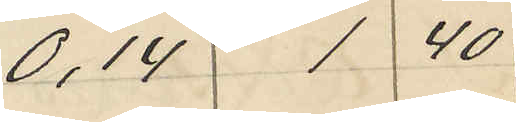0,14 1 40
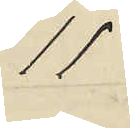11
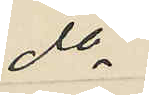do
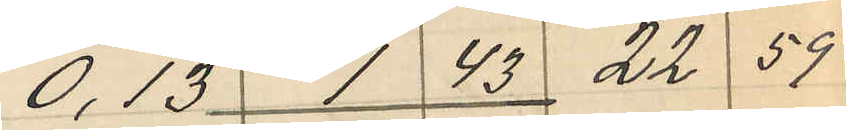0,13 1 43 22 59
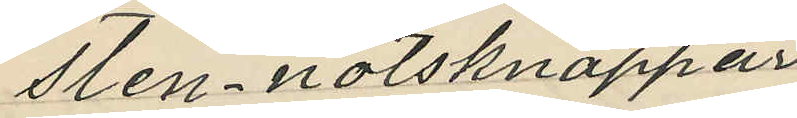Sten nötsknappar
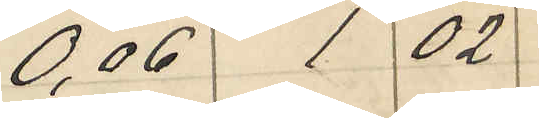0,06 1 02
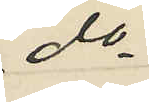do
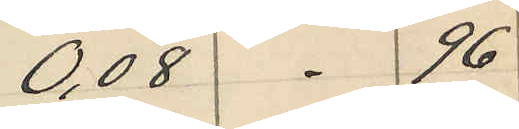0,08 - 96
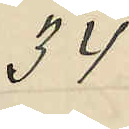34
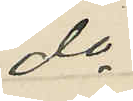do
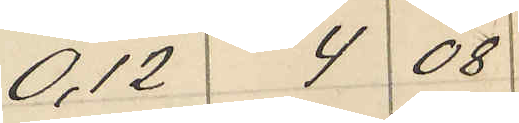0,12 4 08
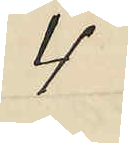4
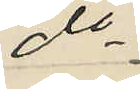do
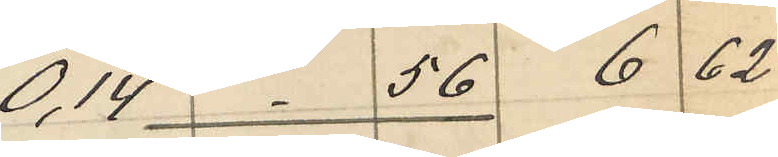0,14 - 56 6 62
